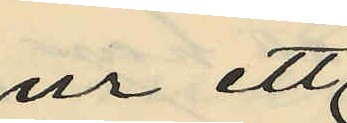ur ett
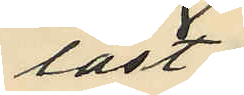låst
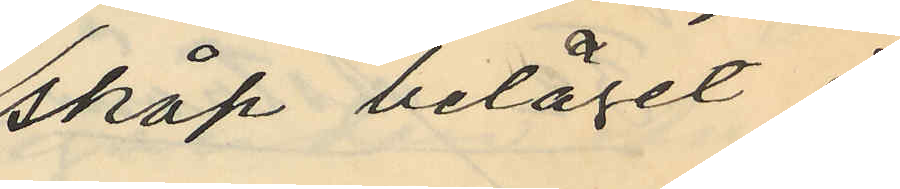skåp beläget i
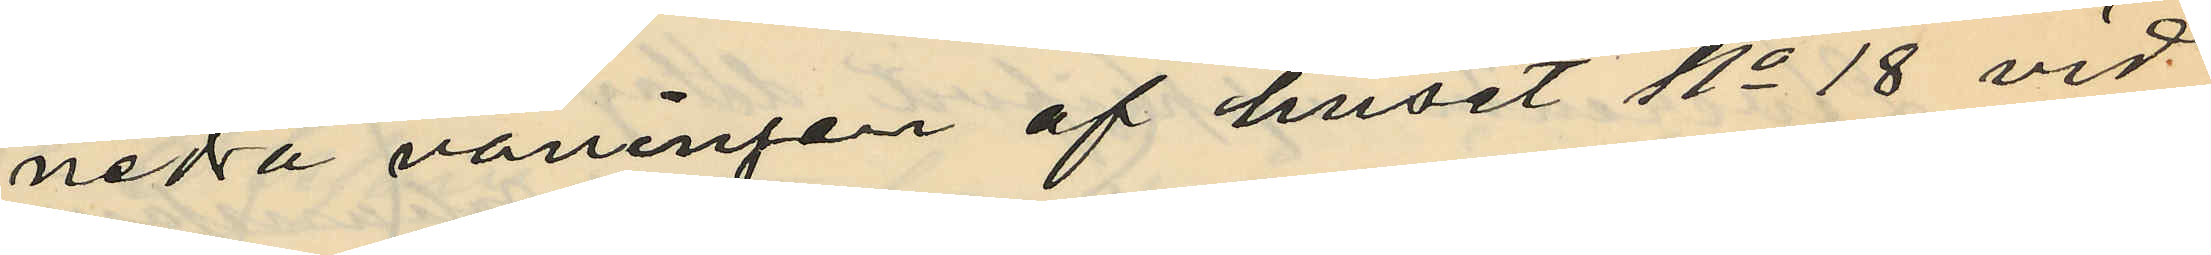nedra våningen af huset No 18 vid
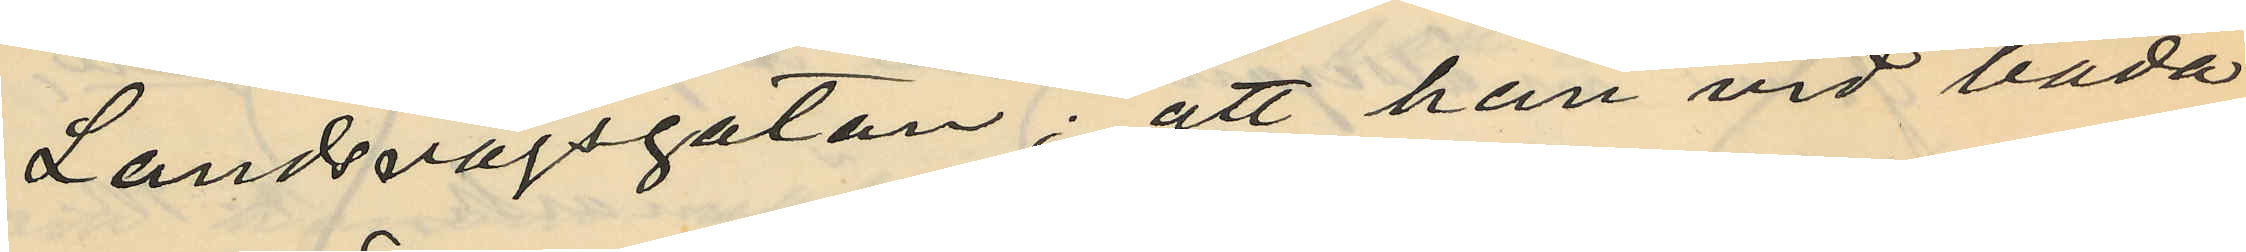Landsvägsgatan; att han vid båda
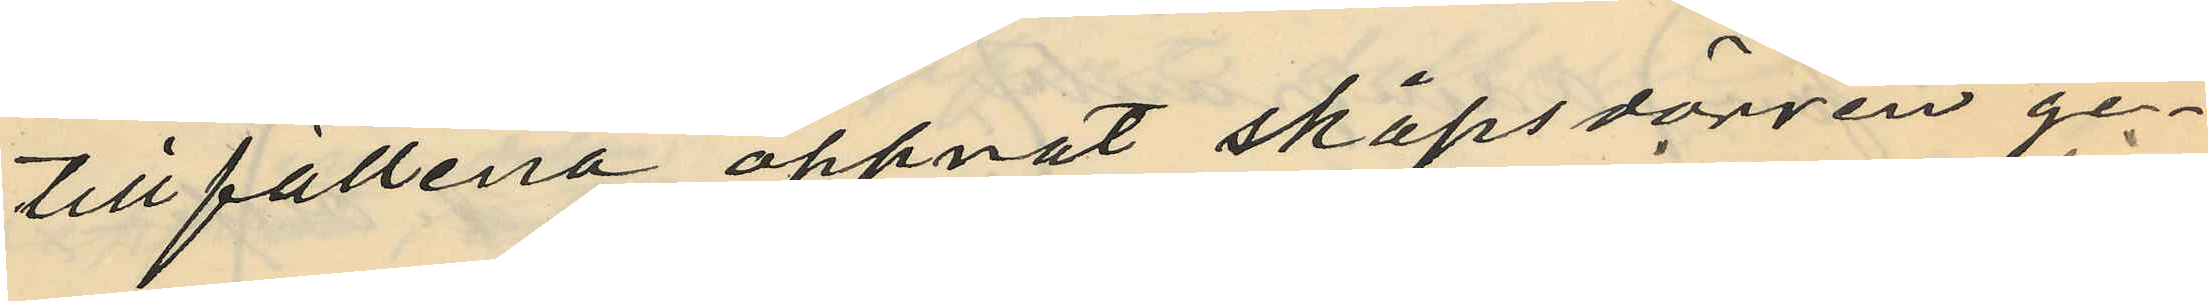tillfällena öppnat skåpsdörren ge¬
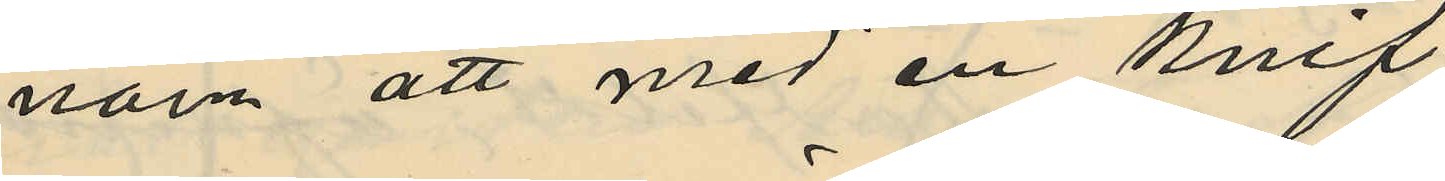nom att med en knif
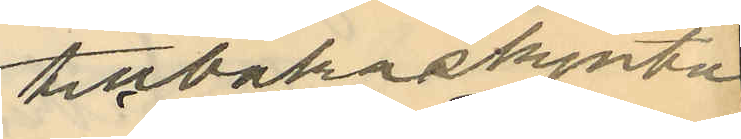tillbakaskjuta
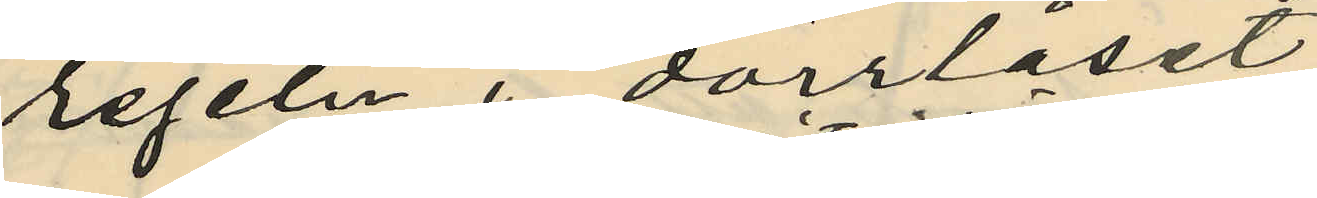regeln i dörrlåset;
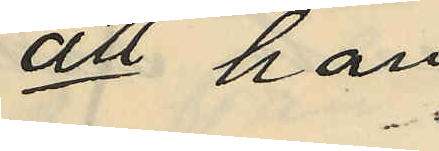att han
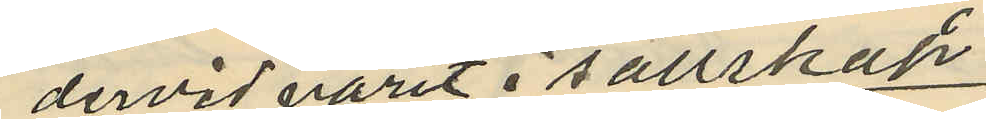dervid varit i sällskap
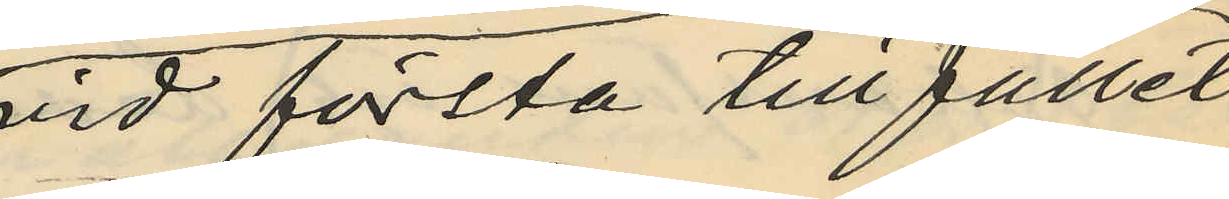vid första tillfället
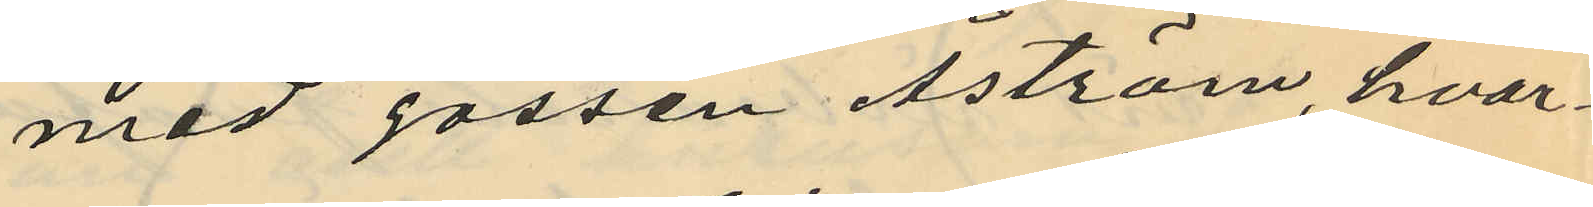med gossen Åström, hvar¬
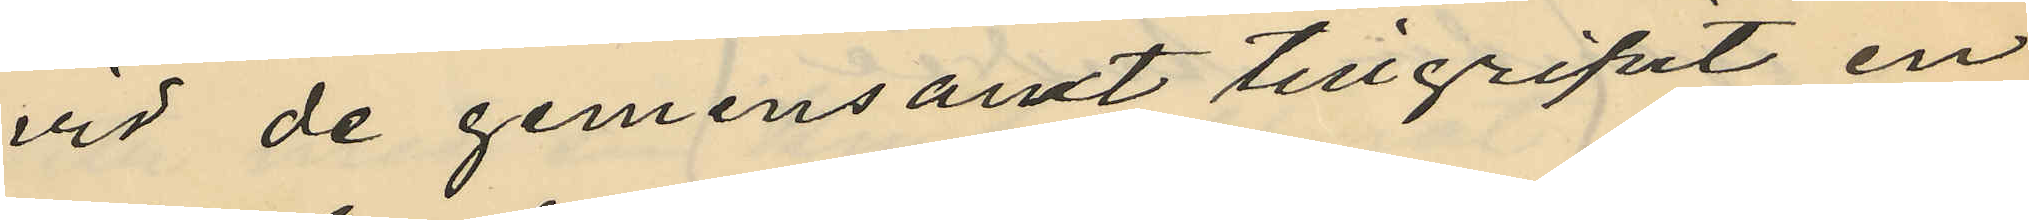vid de gemensamt tillgripit en
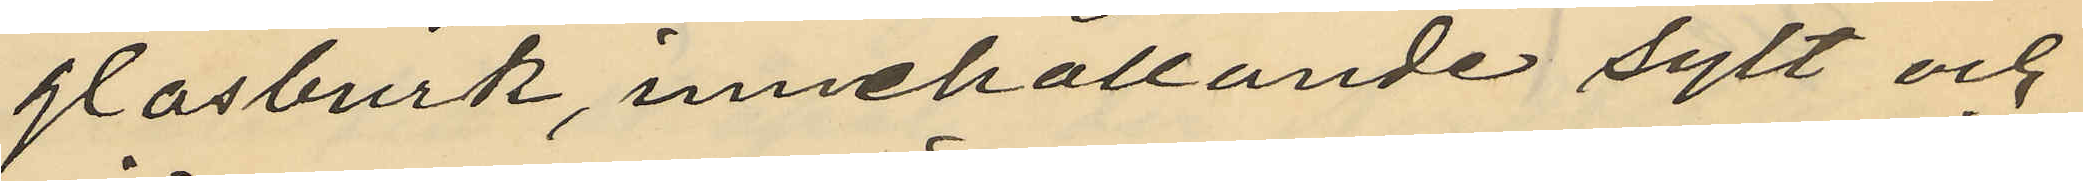glasburk, innehållande sylt och
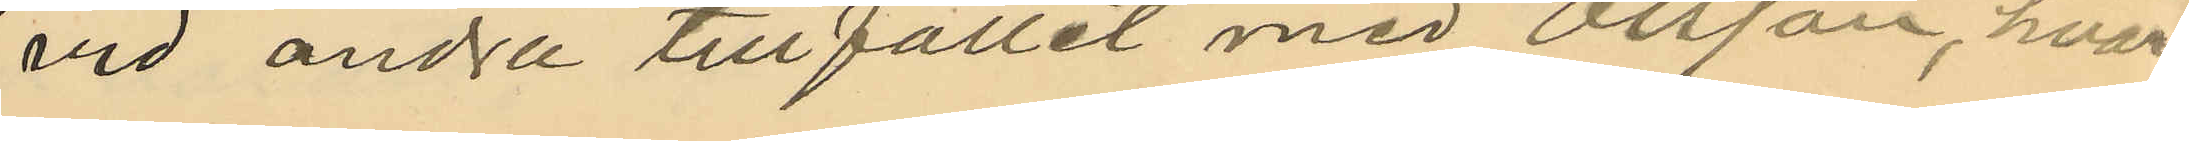vid andra tillfället med Olsson, hvar¬
